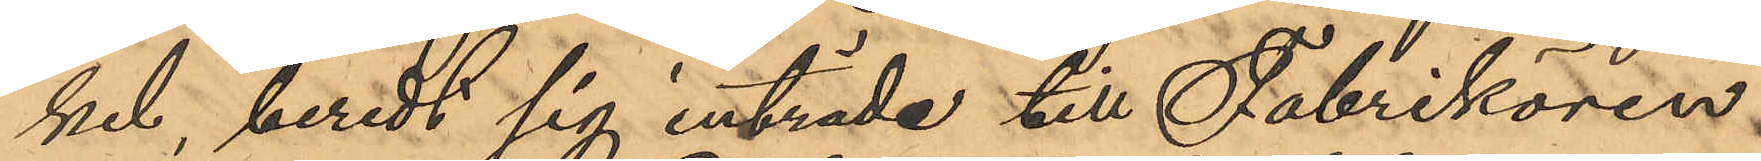kel, beredt sig inträde till Fabrikören
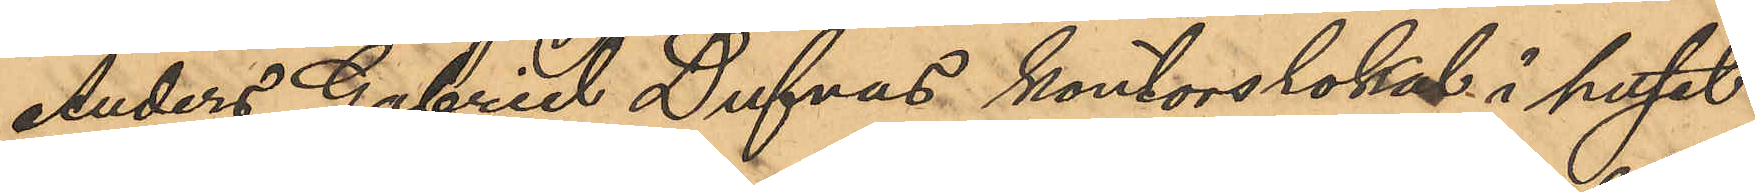Anders Gabriel Dufvas kontorslokal i huset
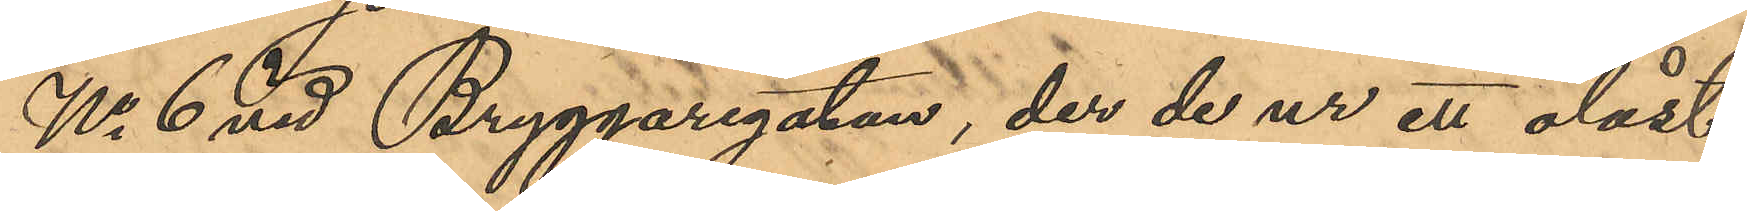No 6 vid Bryggaregatan, der de ur ett olåst
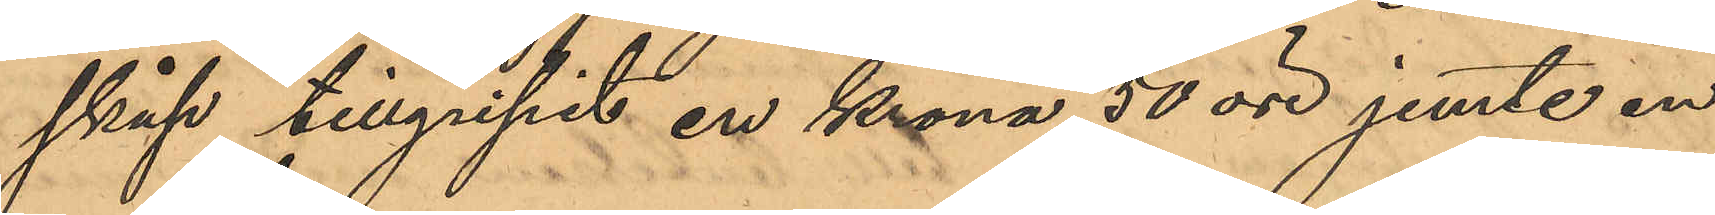skåp tillgripit en krona 50 öre jemte en
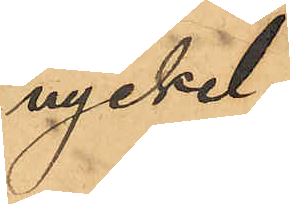nyckel;
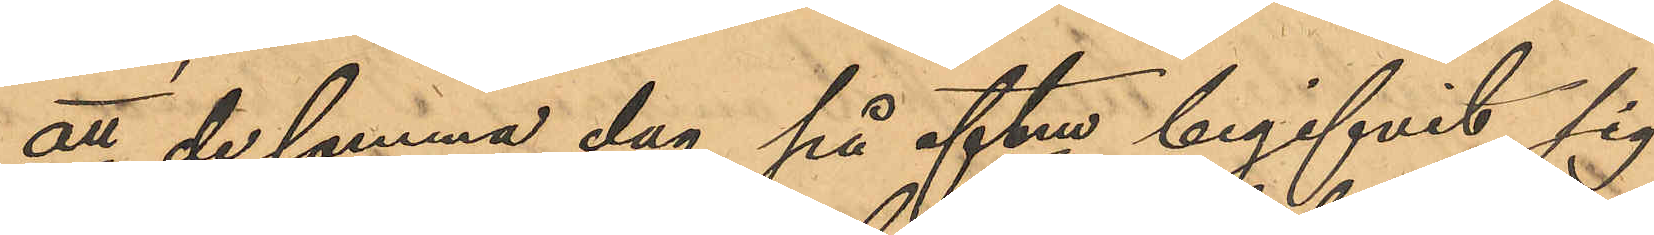att de samma dag på eftm begifvit sig
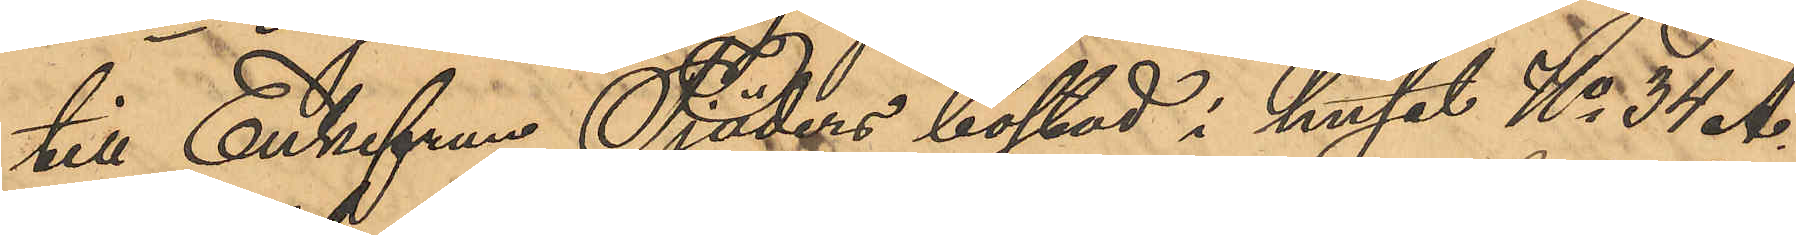till Enkefrun Tjäders bostad i huset No 34 A
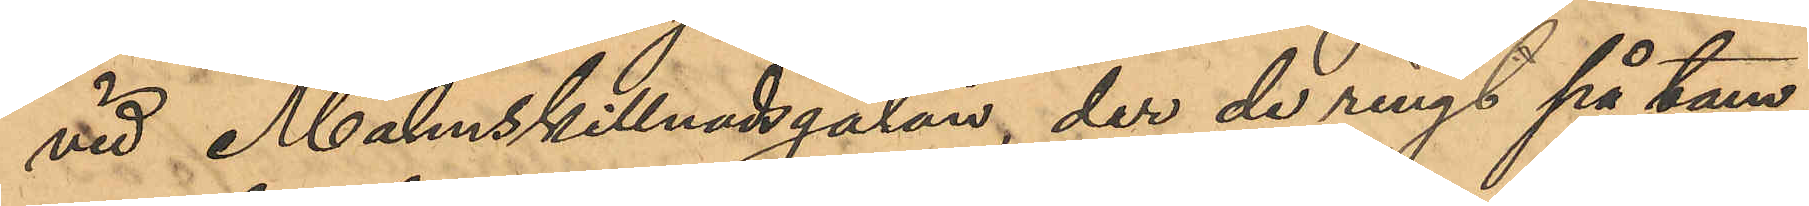vid Malmskillnadsgatan, der de ringt på tam¬
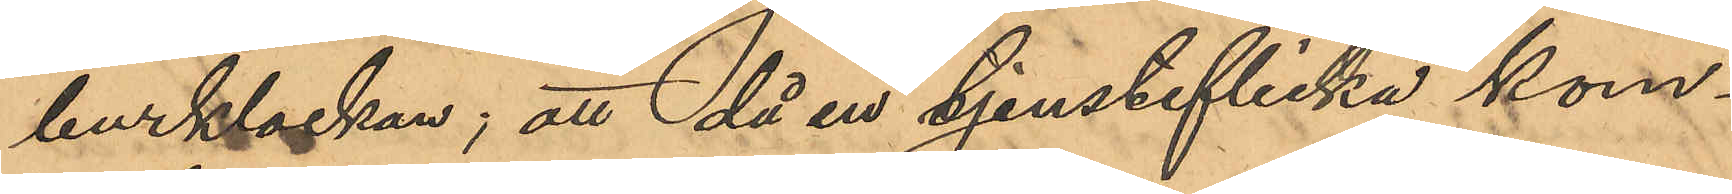burklockan; att då en tjensteflicka kom¬
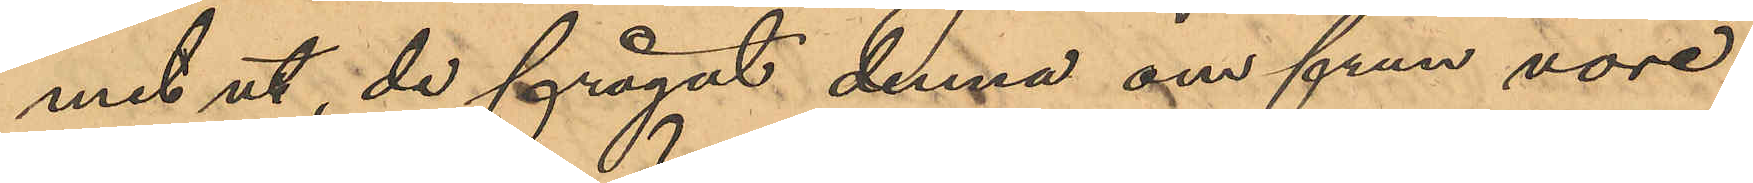mit ut, de frågat denna om frun vore
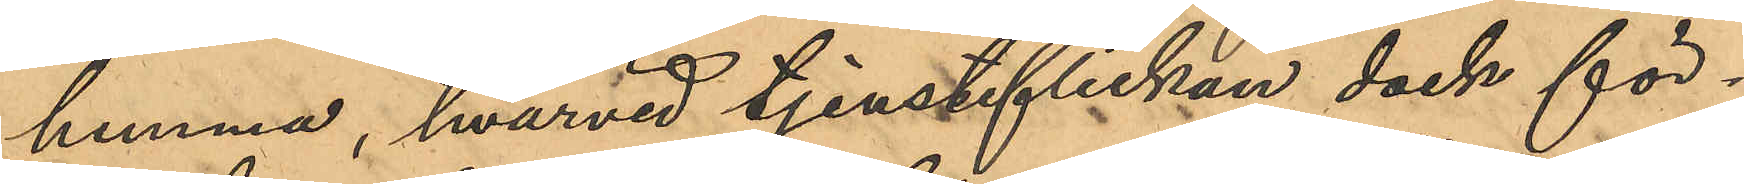hemma, hvarvid tjensteflickan dock för¬
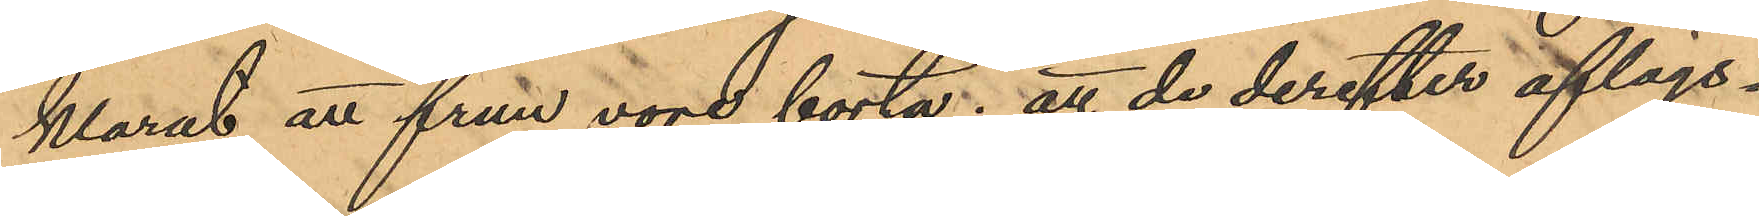klarat att frun vore borta; att de derefter aflägs¬
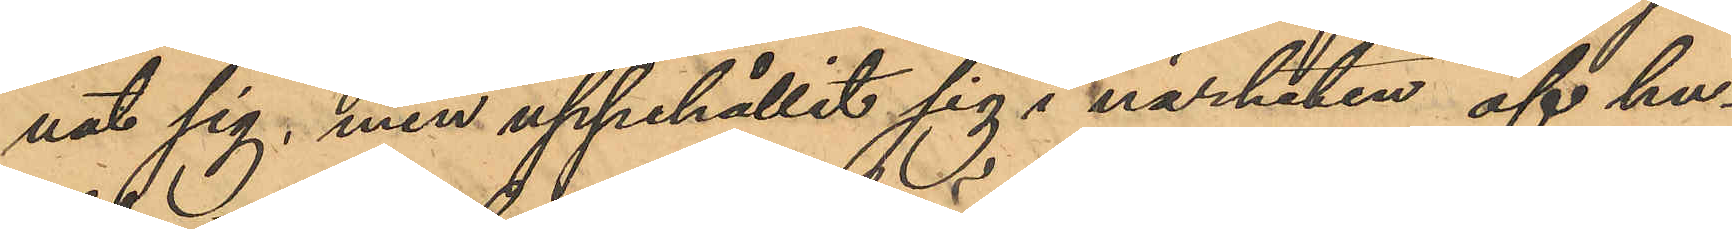nat sig, men uppehållit sig i närheten af hu¬
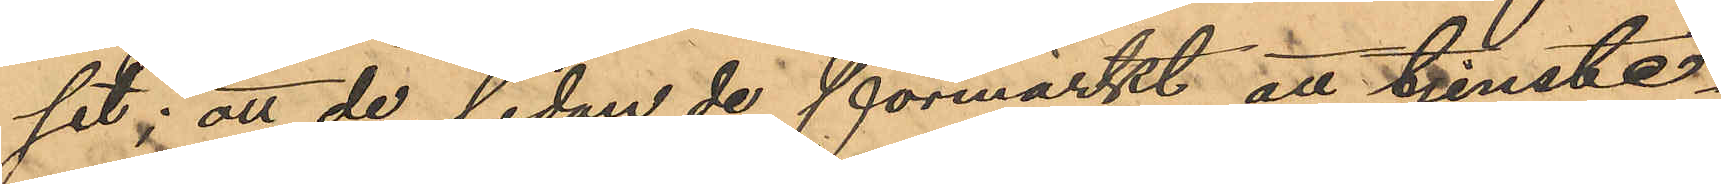set; att de, sedan de förmärkt att tjenste¬
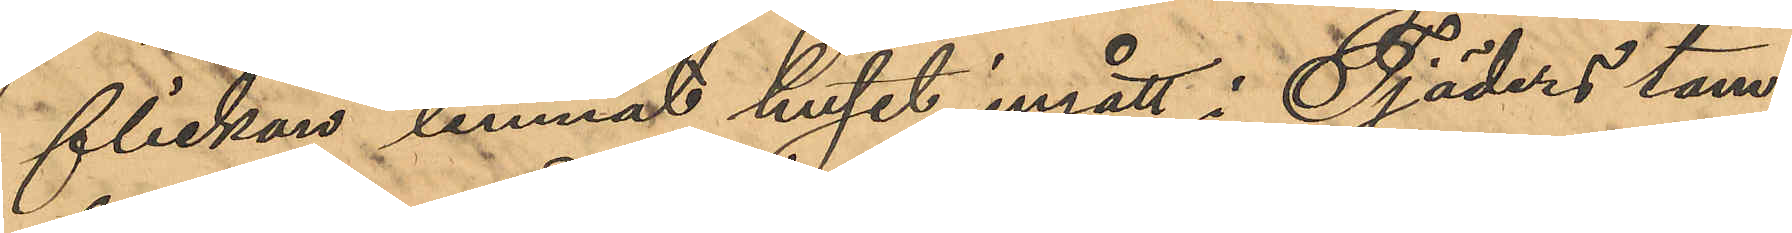flickan lemnat huset, ingått i Tjäders tam¬
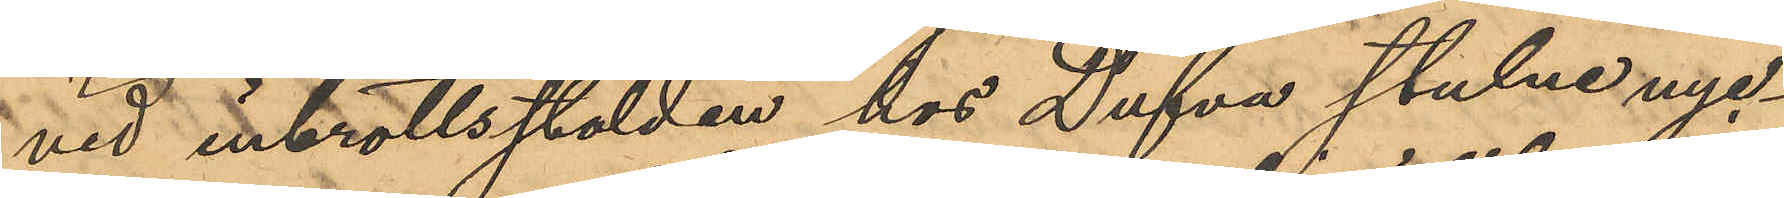vid inbrottsstölden hos Dufva stulne nyc¬
